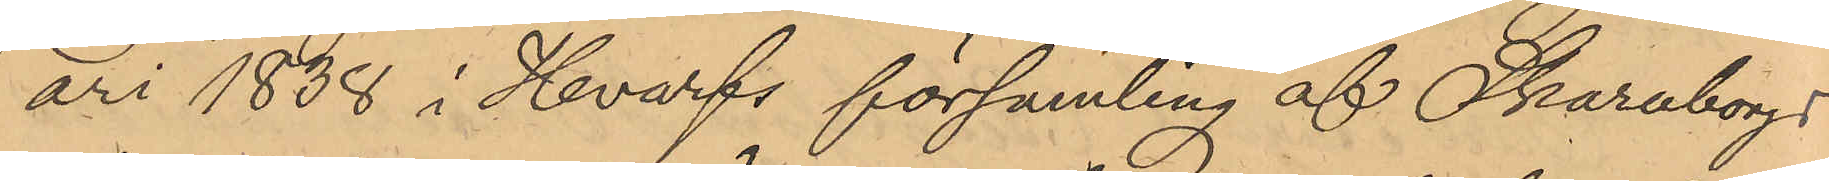ari 1838 i Hvarfs församling af Skaraborgs
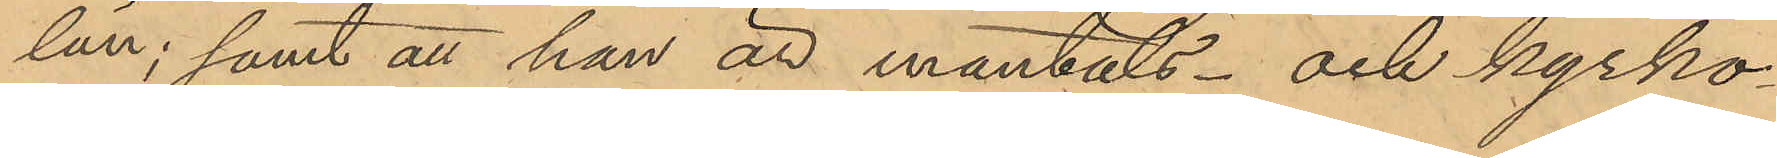län; samt att han är mantals- och kyrko¬
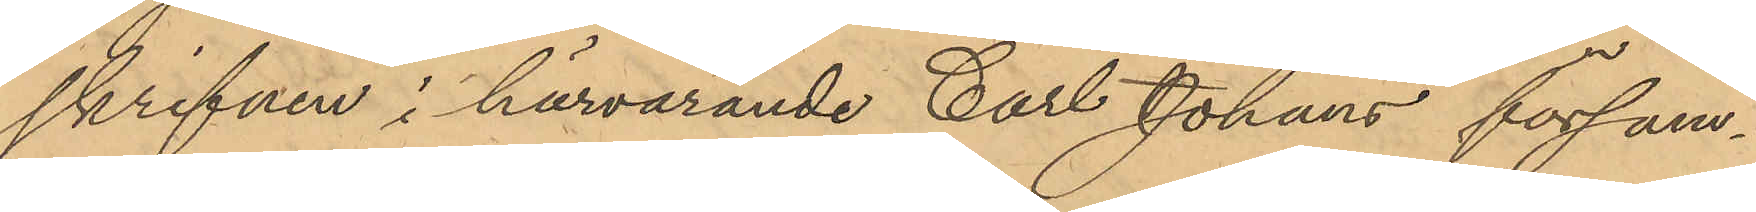skrifven i härvarande Carl Johans försam¬
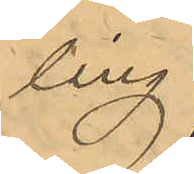ling.
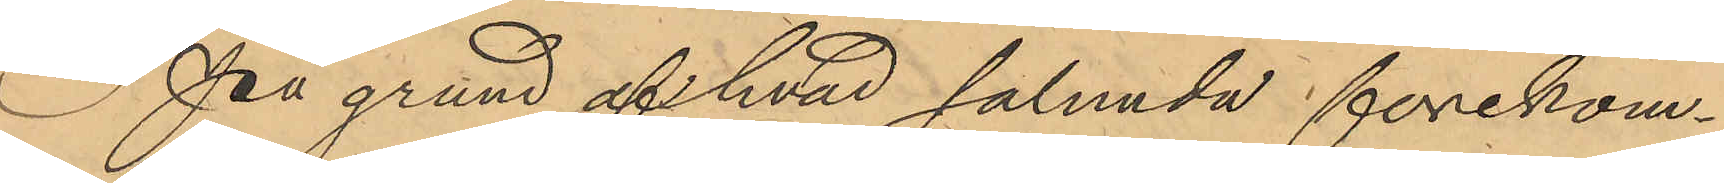På grund af hvad sålunda förekom¬
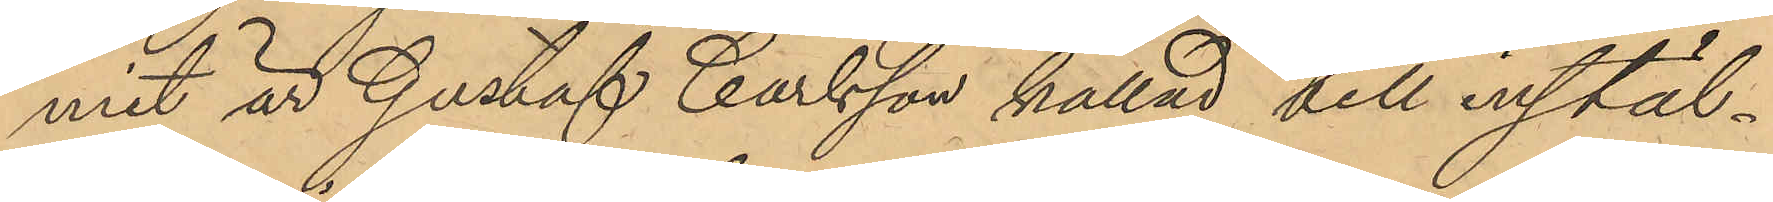mit är Gustaf Carlsson kallad till instäl¬
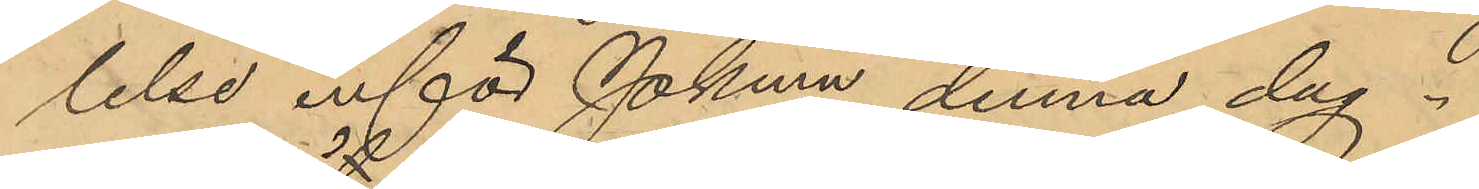lelse inför Pkmn denna dag.
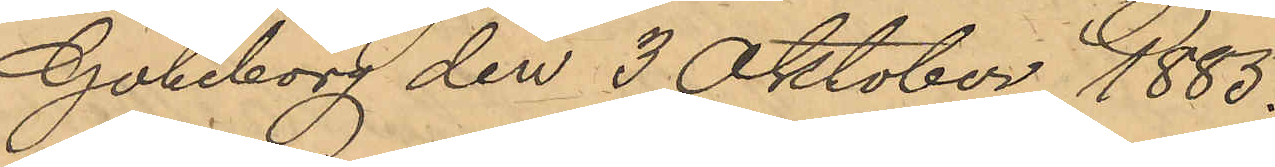Göteborg den 3 Oktober 1885.
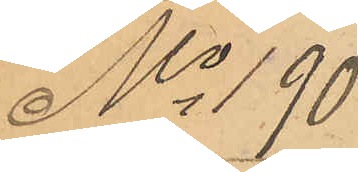No 190
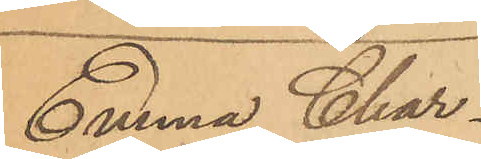Emma Char¬
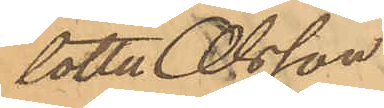lotte Olsson
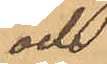och
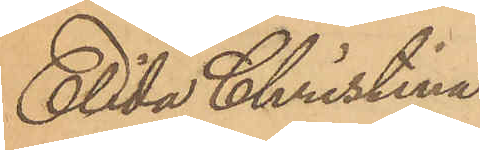Elida Christina
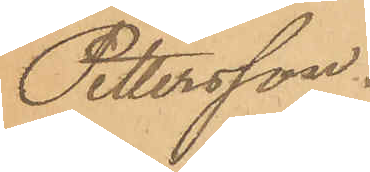Pettersson.
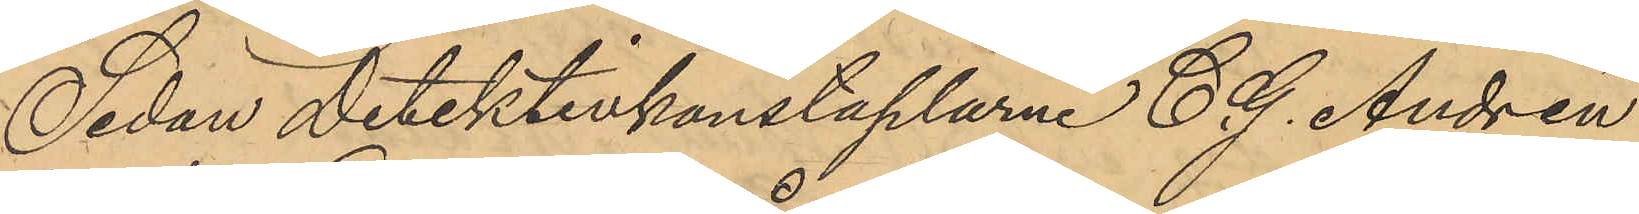Sedan Detektivkonstaplarne C. G. Andrén
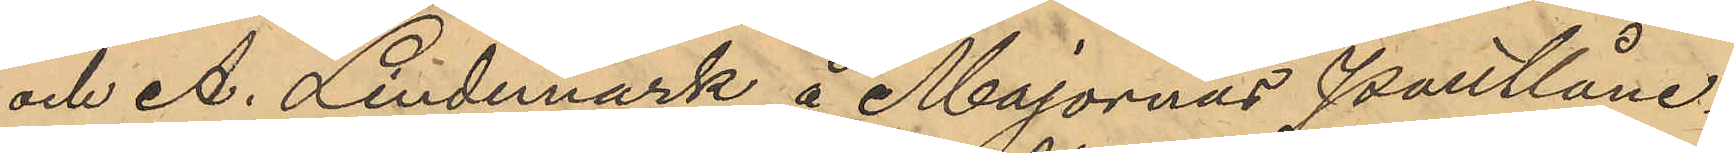och A. Lindmark å Majornas Pantlåne¬
